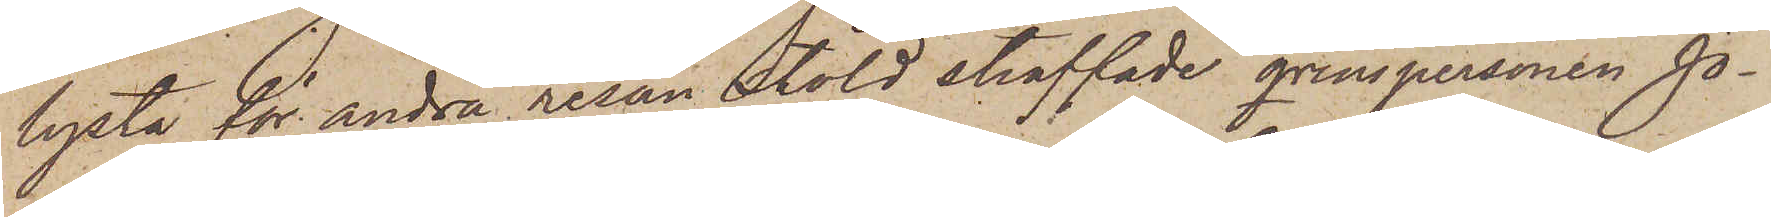lysta för andra resan stöld straffade qvinspersonen Jo¬
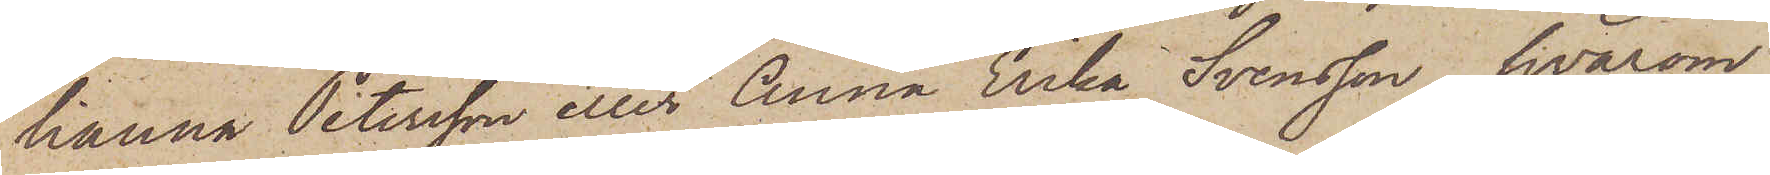hanna Petersson eller Anna Erika Svensson, hvarom
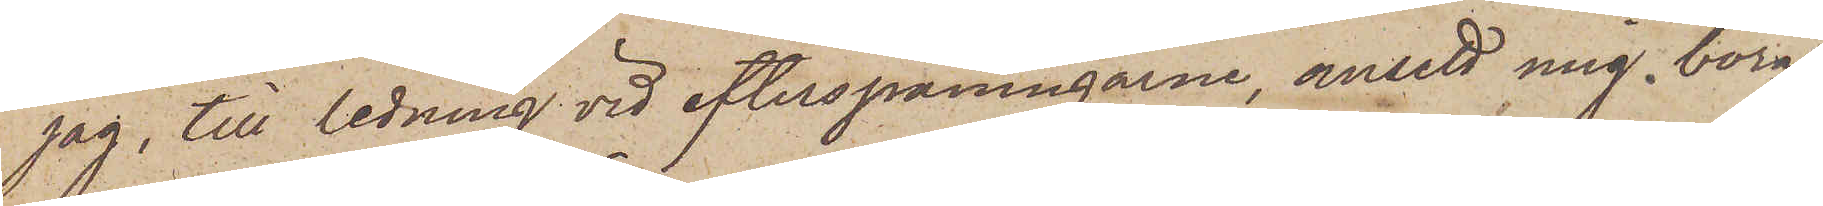jag, till ledning vid efterspaningarne, ansett mig böra
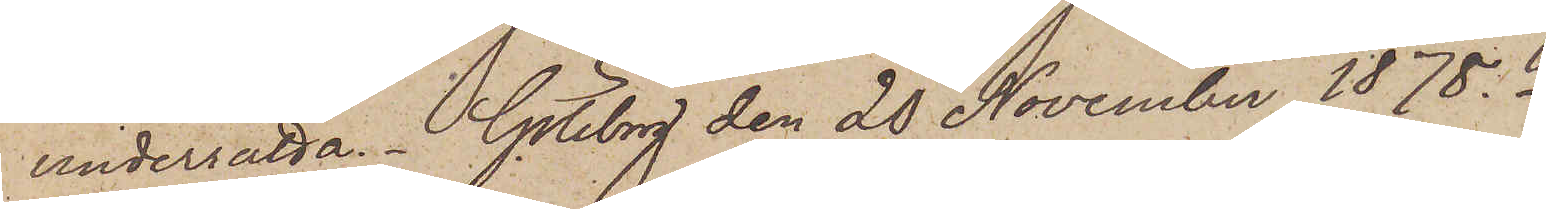underrätta. Göteborg den 20 November 1878.
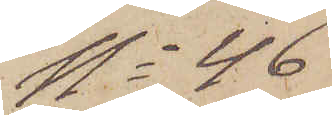No 46
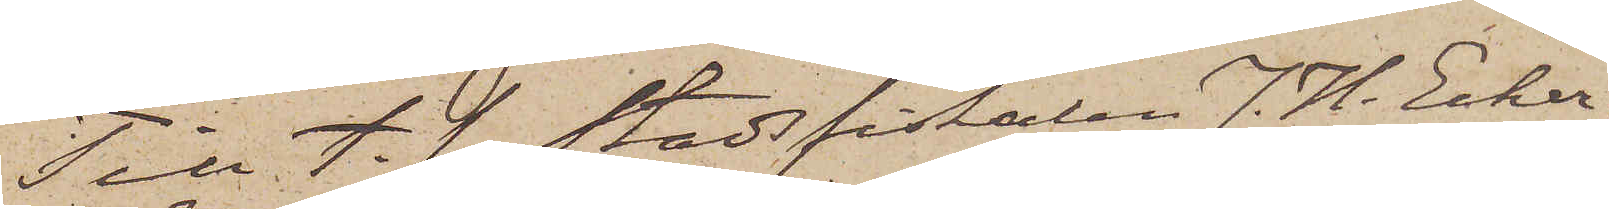Till t. f. Stadsfiskalen J. H. Ecker¬
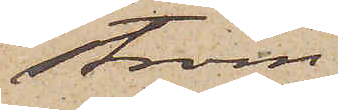ström.
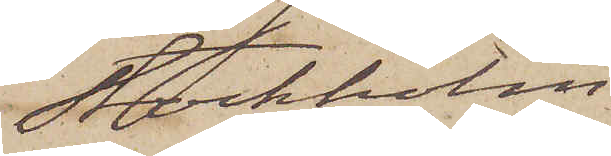Stockholm.
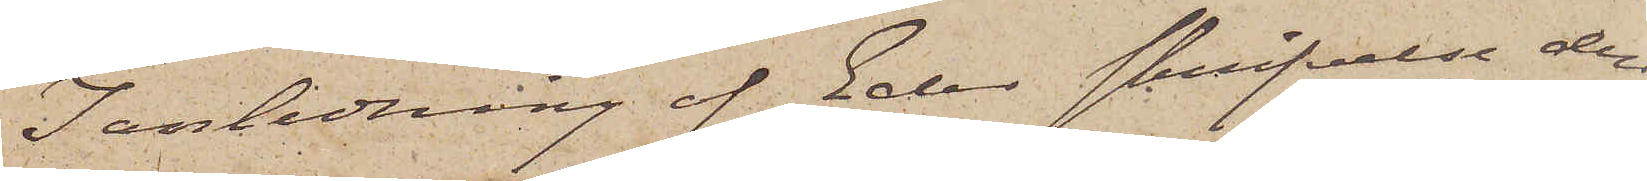I anledning af Eder skrifvelse den
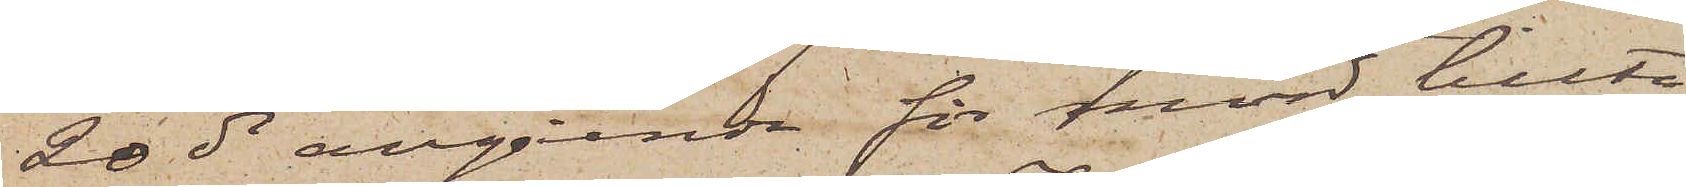20 ds angående för mord tillta¬
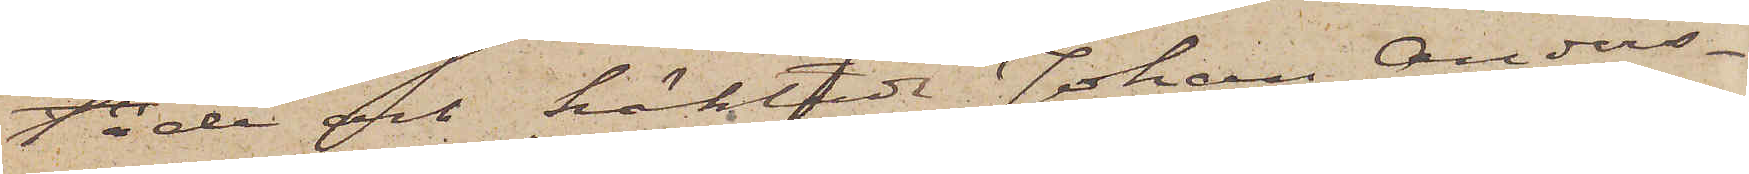lade och häktade Johan Anders¬
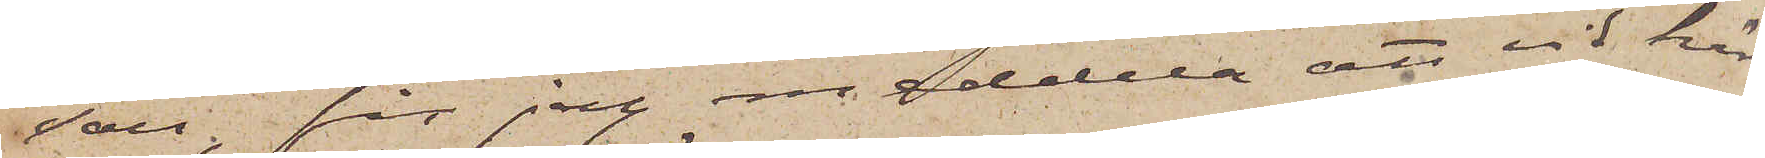son, får jag meddela att vid här¬
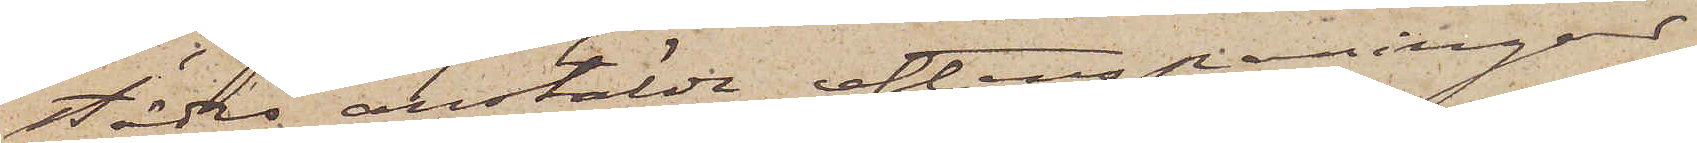städes anstälde efterspaningar
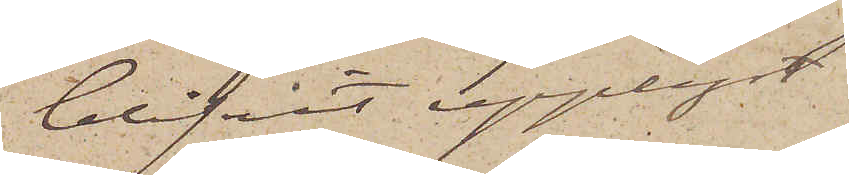blifvit upplyst
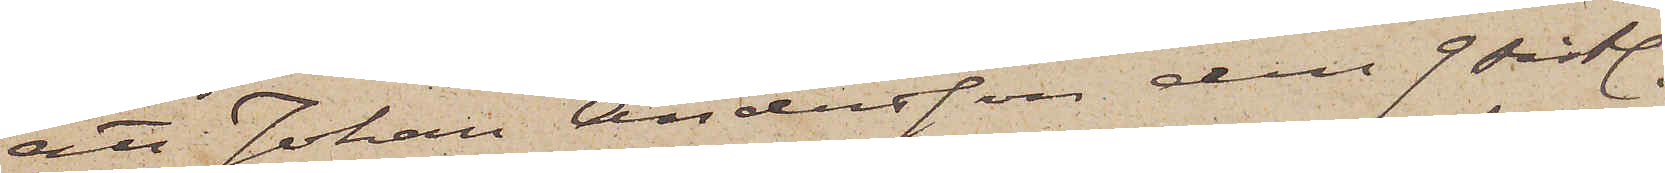att Johan Andersson den 9 sistl.
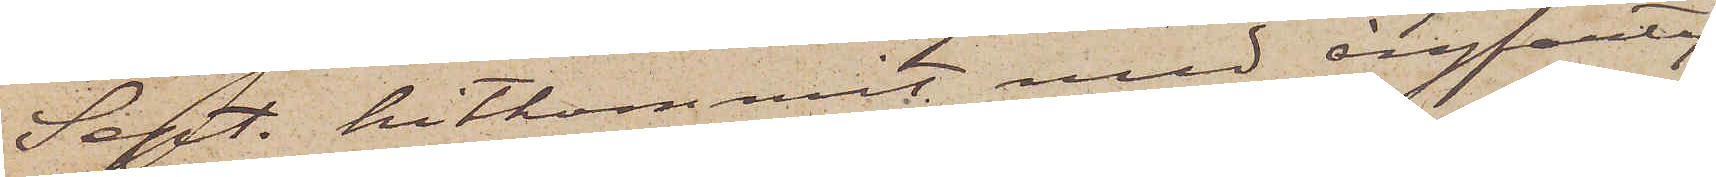Sept. hitkommit med ångfarty¬
